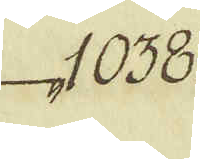1038.
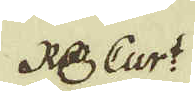R d:r Curt
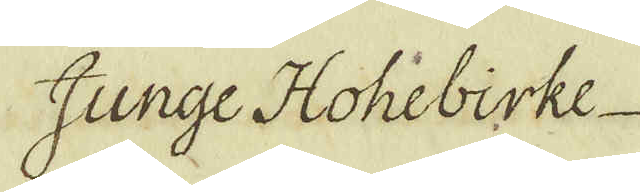Junge Hohebirke
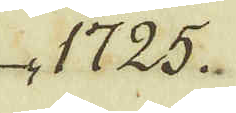1725.
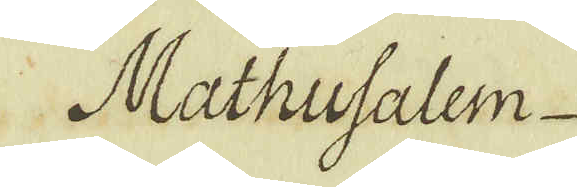Mathusalem.
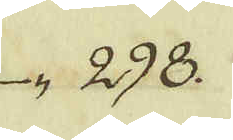298.
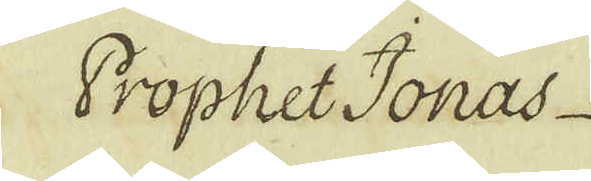Prophet Jonas
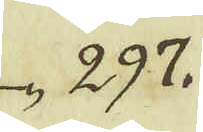297.
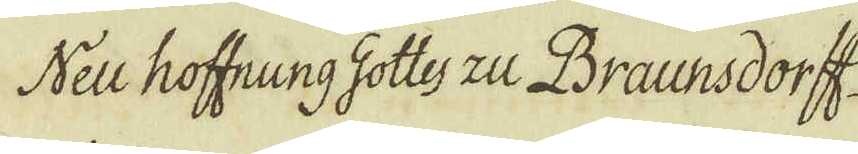Neu hoffnung Gottes zu Braunsdorff
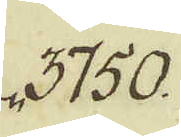3750.
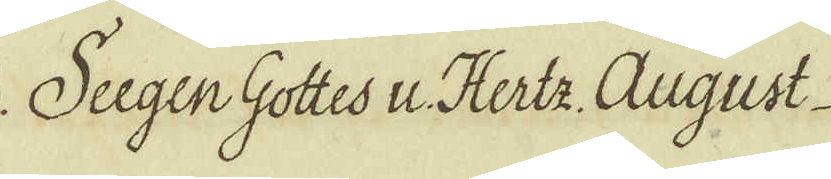Sugen Gottes u. Hertz August
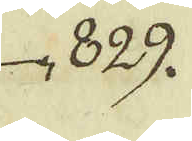829.
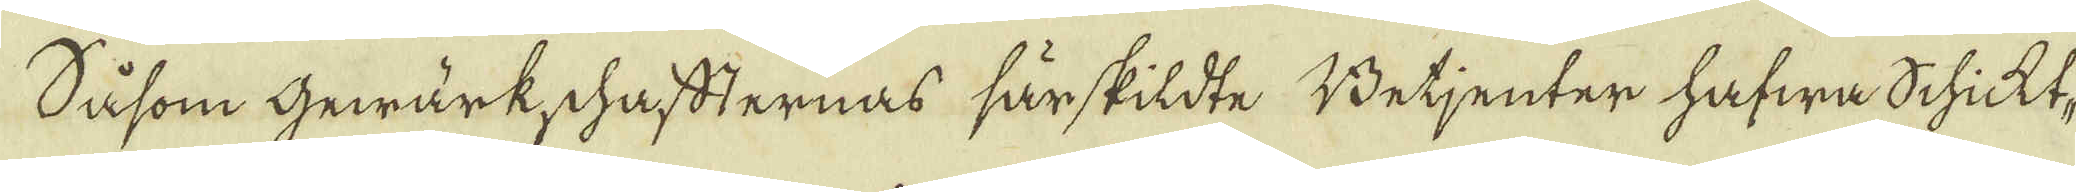Såsom gewärkschaffternas särskildte Betjenter hafwa Schickt-
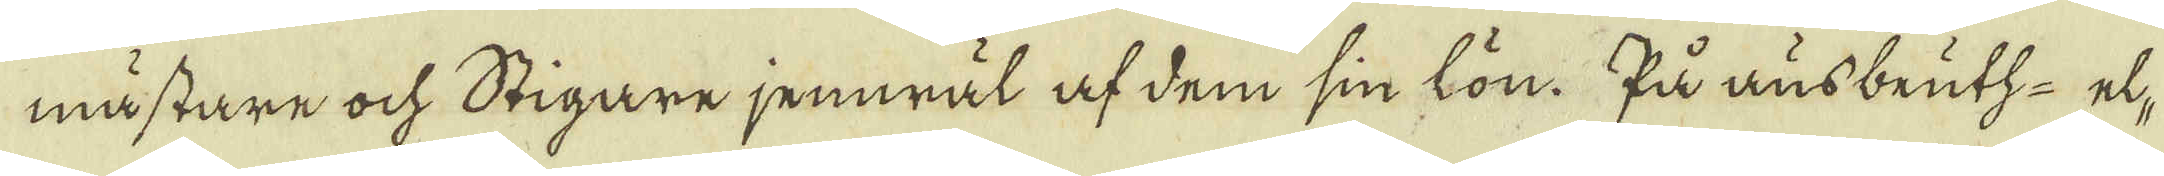mästare ock Stigare jemwäl af dem sin lön. På ausbeutz- el-
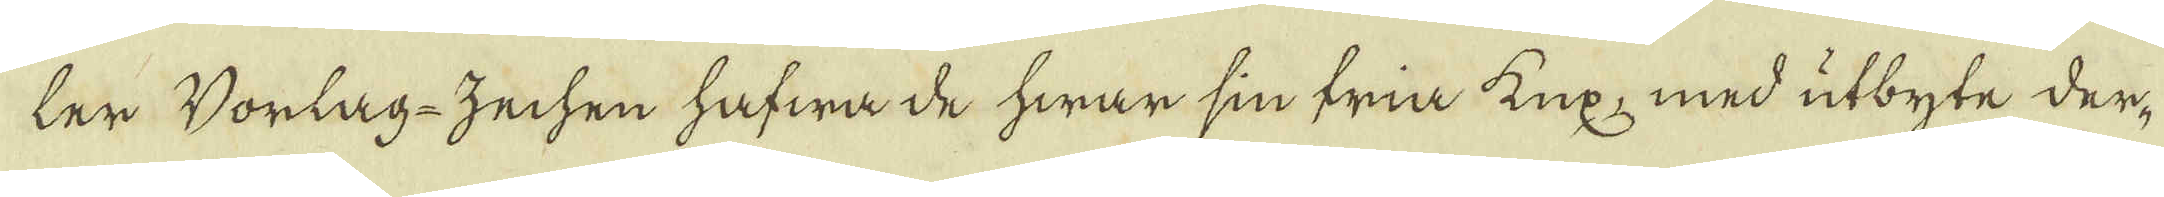ler Vorlag-zechen hafwa de hwar sin fria kux, med utbyte der-
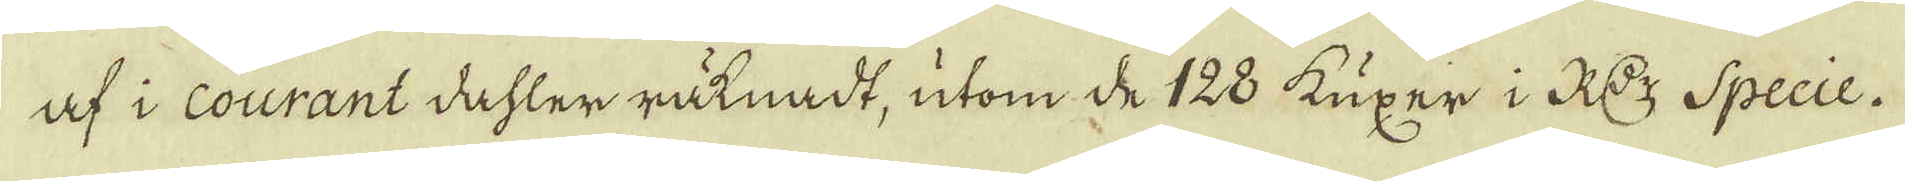af i Courant dahler räknadt, utom de 128 kuxer i R d:r Specie.
